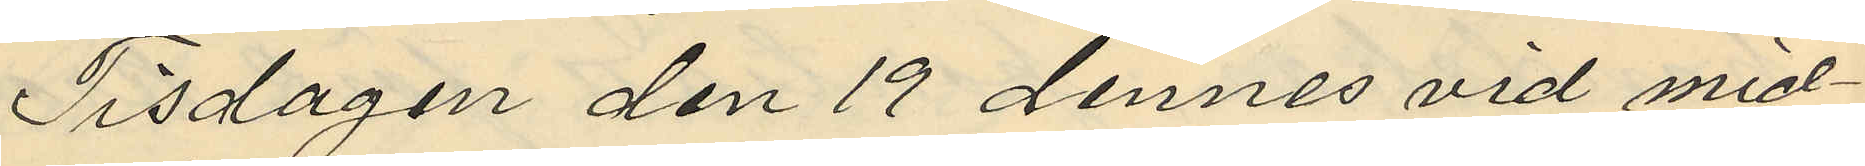Tisdagen den 19 dennes vid med¬
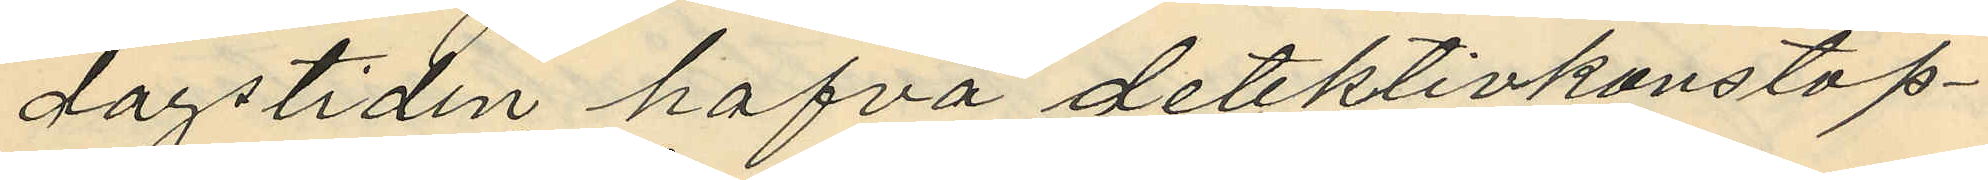dagstiden hafva detektivkonstap¬
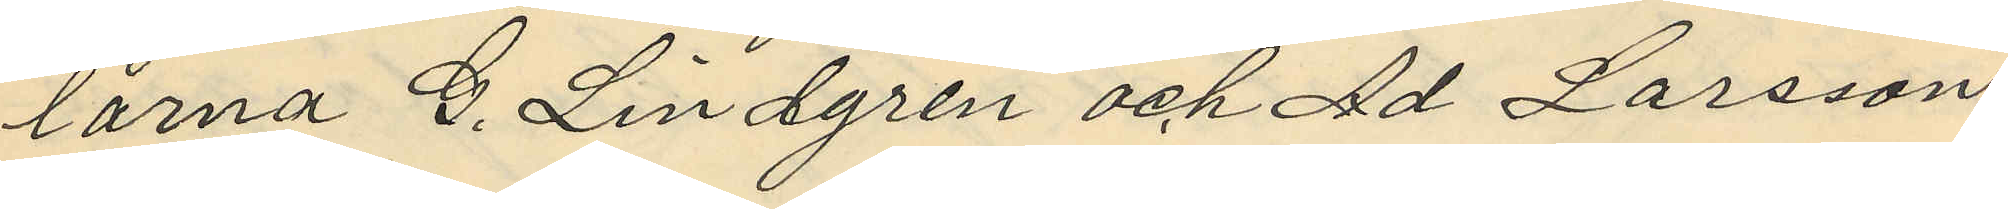larna G. Lindgren och Ad Larsson
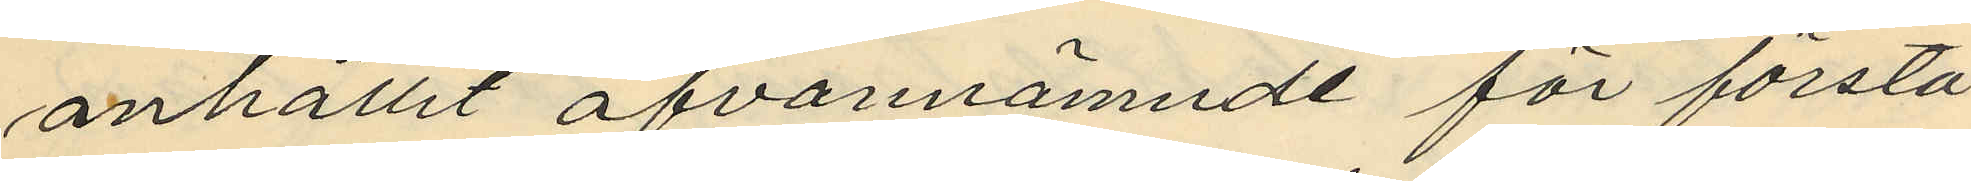anhållit ofvannämnde för första
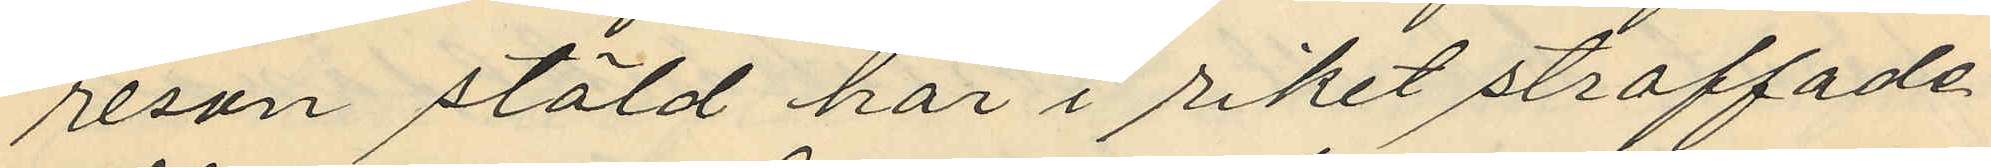resan stöld här i riket straffade
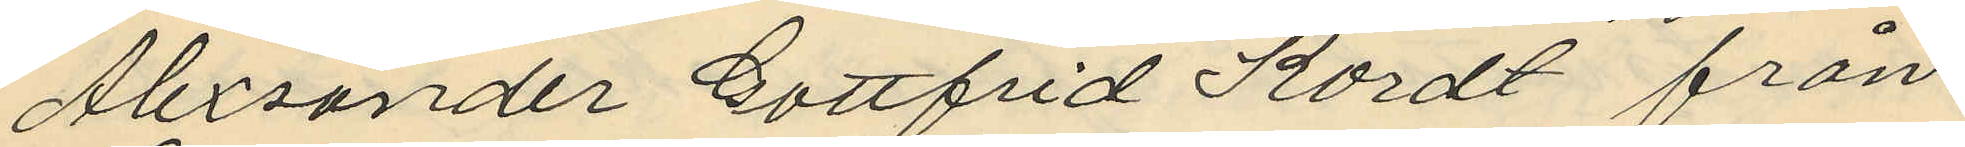Alexander Gottfrid Kordt från
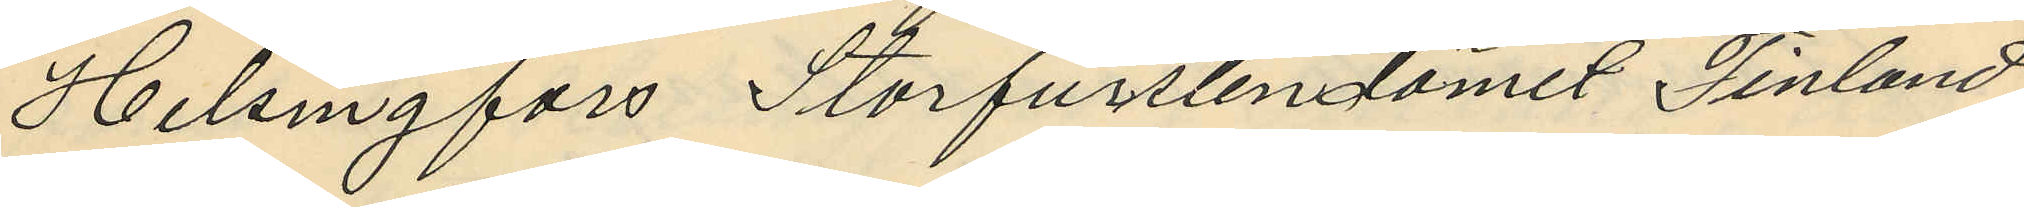Helsingfors Storfurstendömet Finland
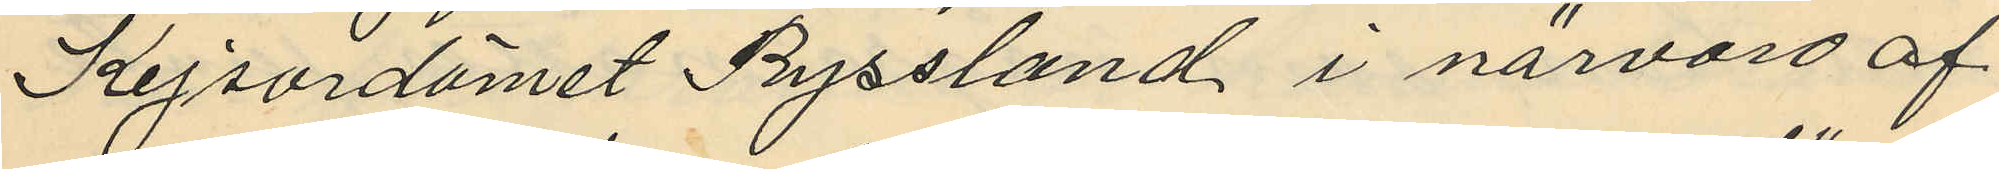Kejsardömet Ryssland i närvaro af
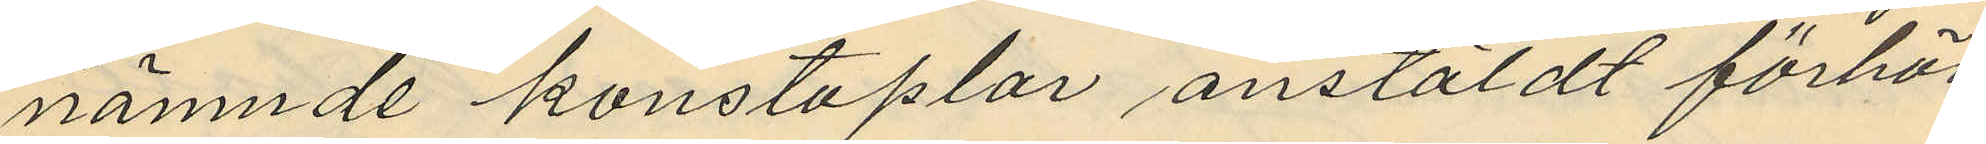nämnde konstaplar anstäldt förhör
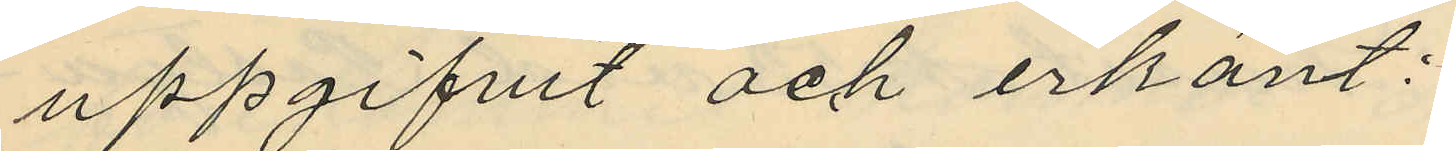uppgifvit och erkänt:
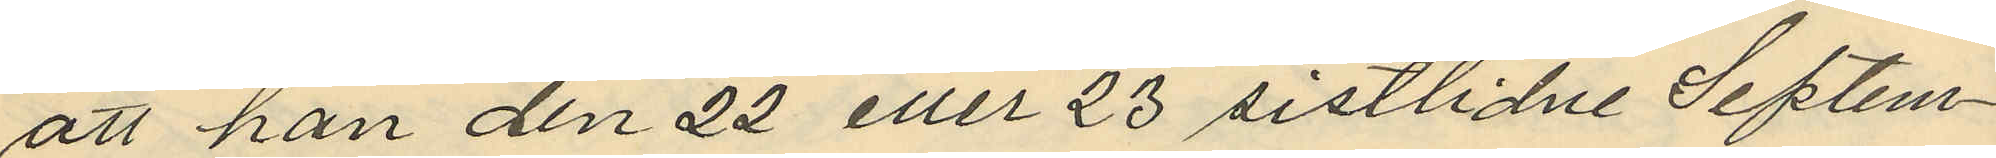att han den 22 eller 23 sistlidne Septem¬
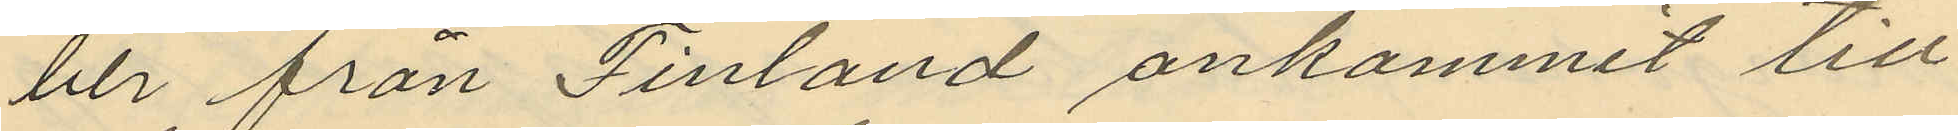der från Finland ankommit till
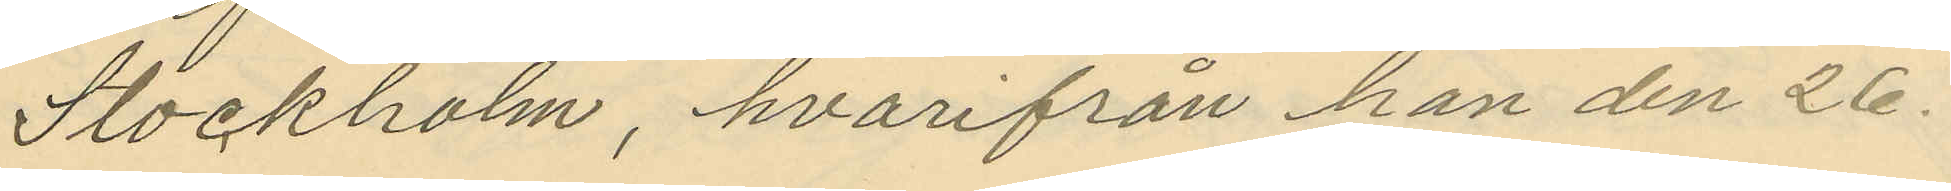Stockholm, hvarifrån han den 26
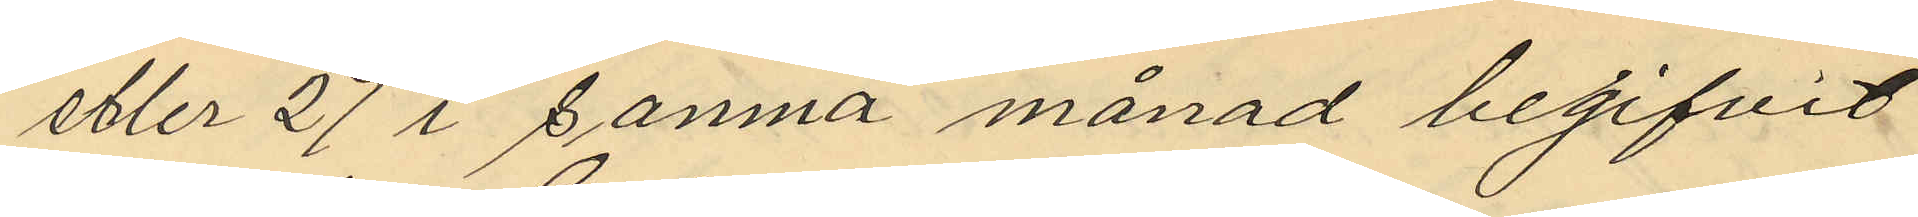eller 27 i samna månad begifvit
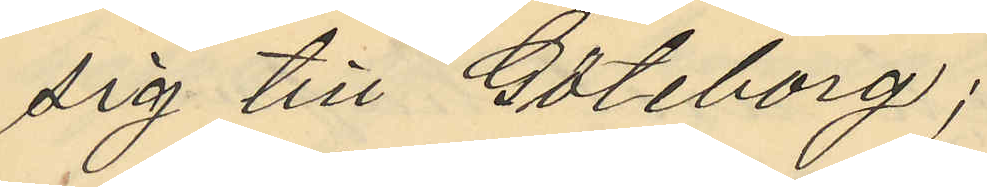sig till Göteborg;
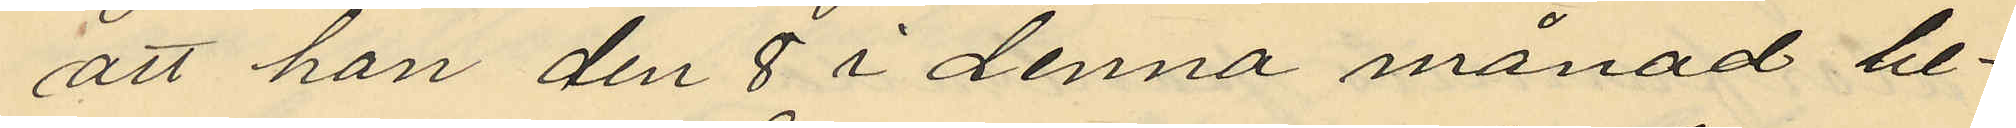att han den 8 i denna månad be¬
